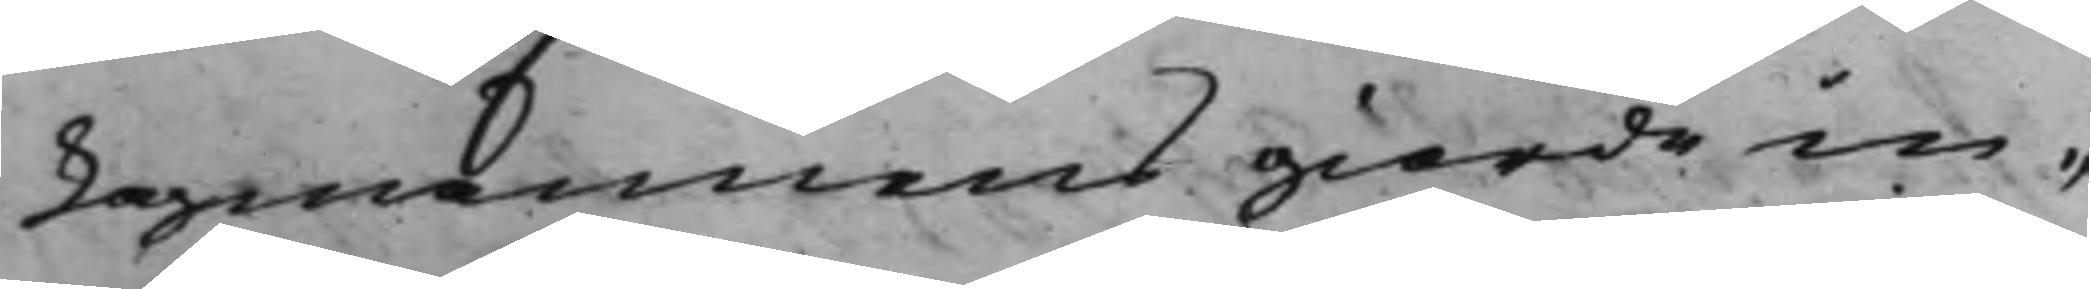Lagmannens giorde in¬
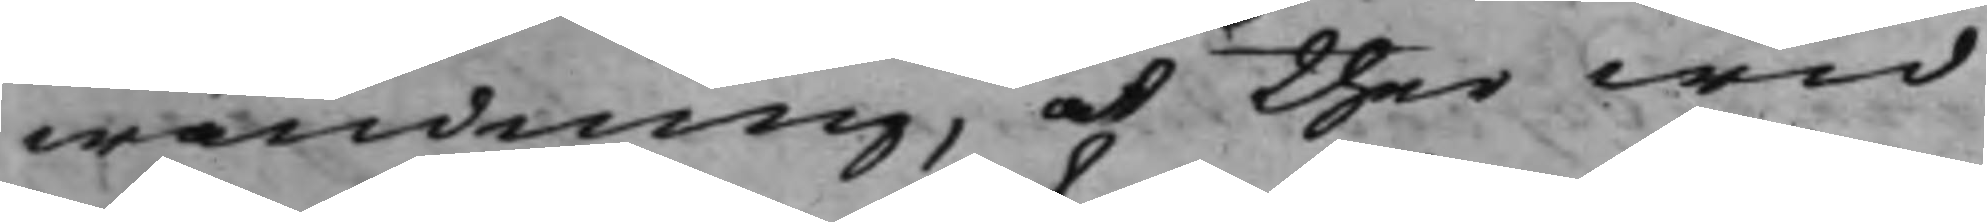wändning, at ther wid
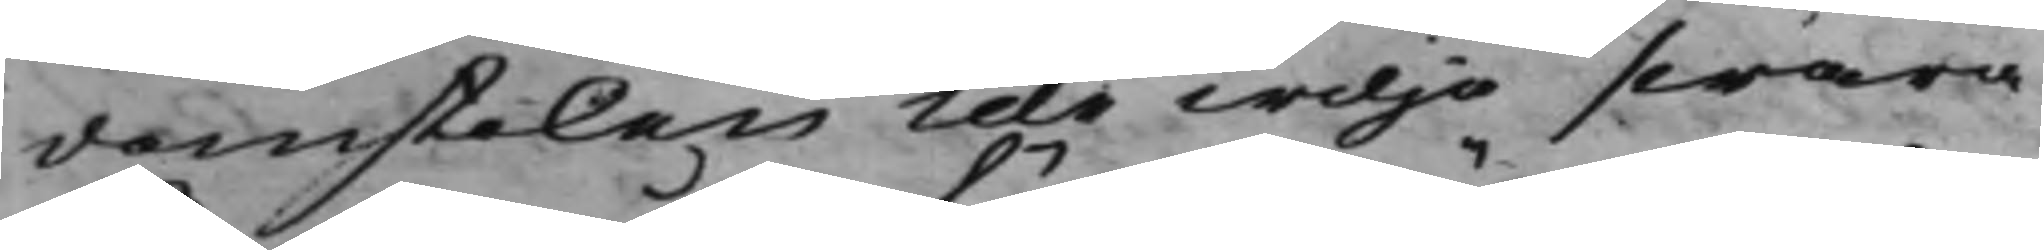domstolen icke wilja swara
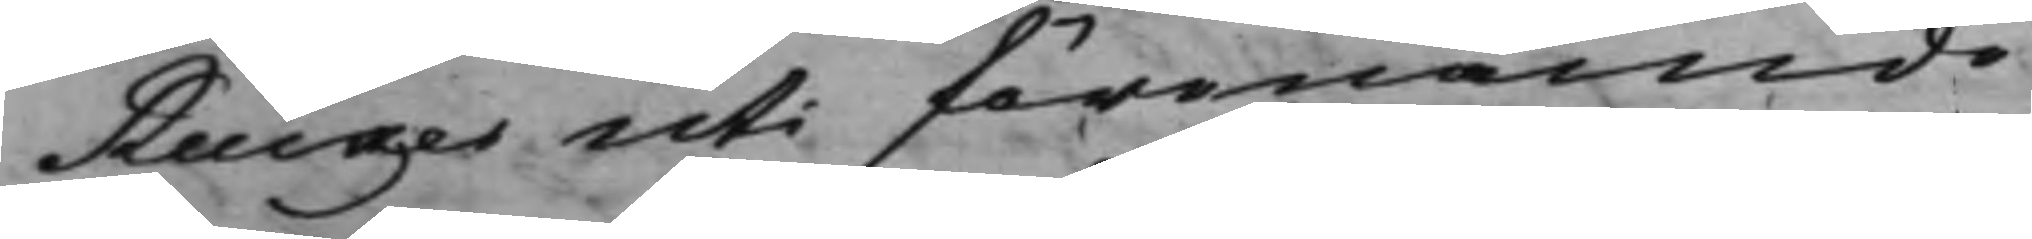Rucker uti förenämde
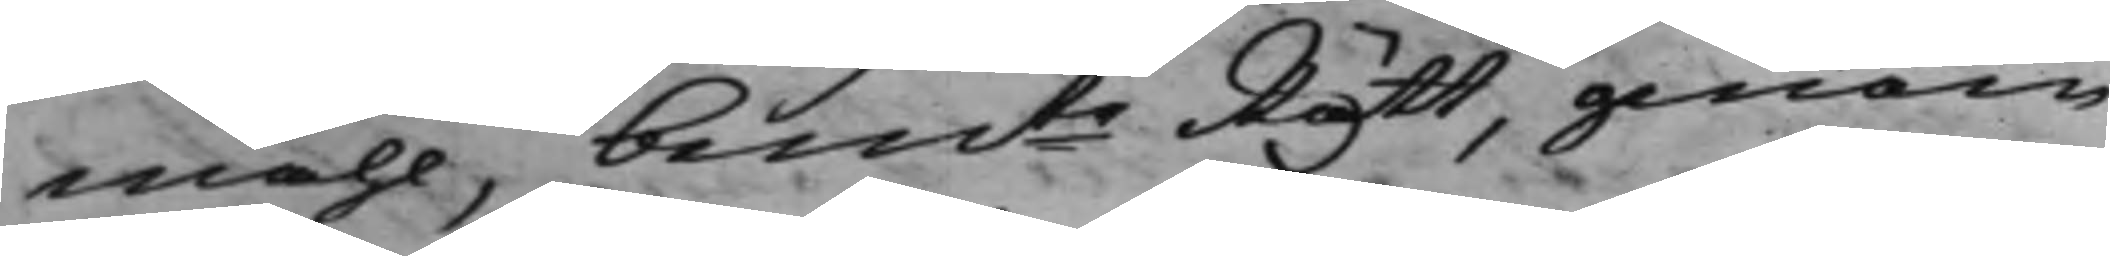måhl, bemte Rätt, genom
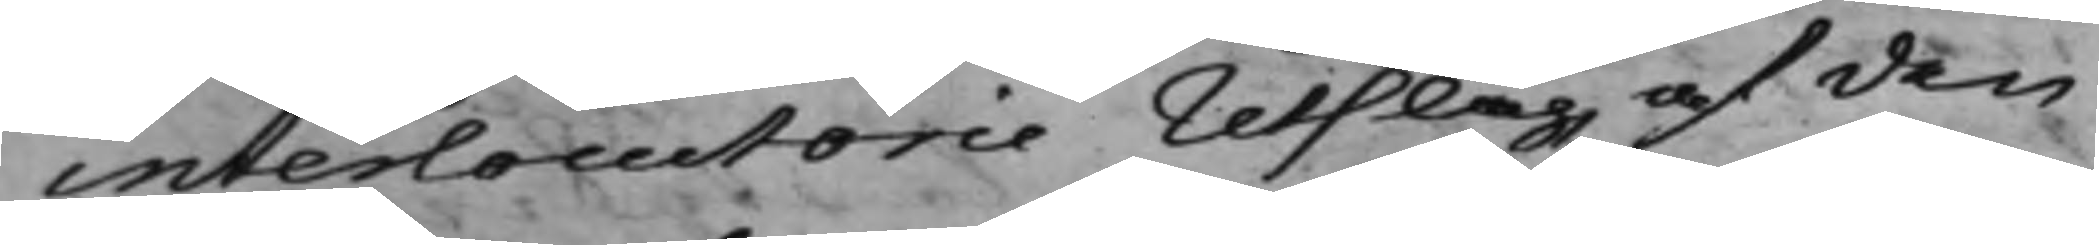interlocutorie Utslag af den
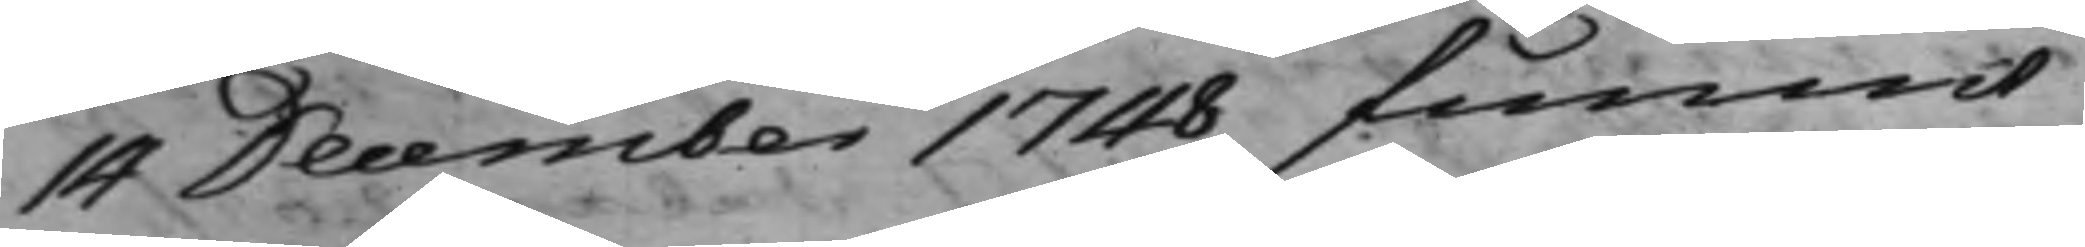14 December 1748 funnit,
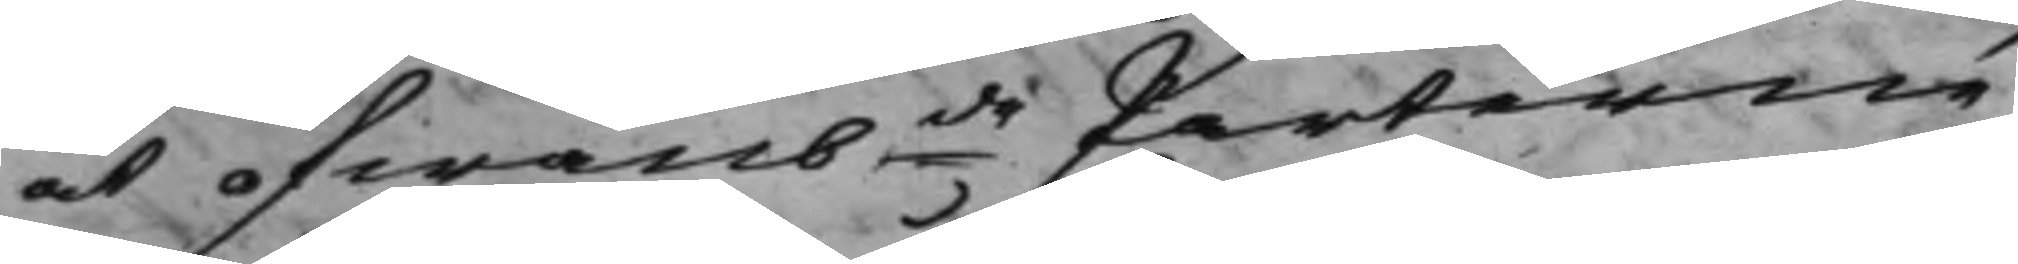at ofwanbde Parterne
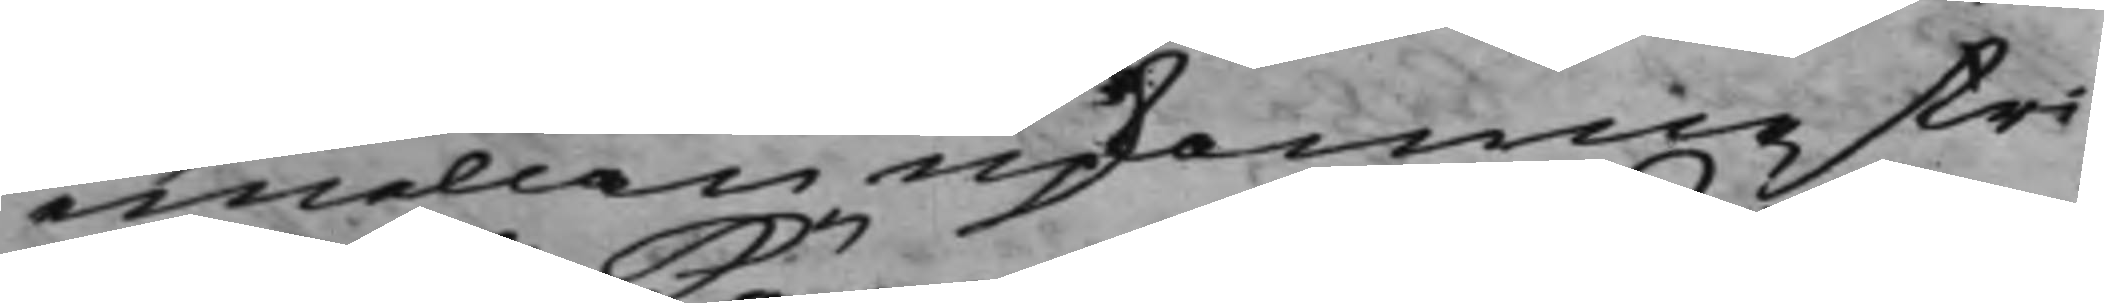emellan upkomne stri¬
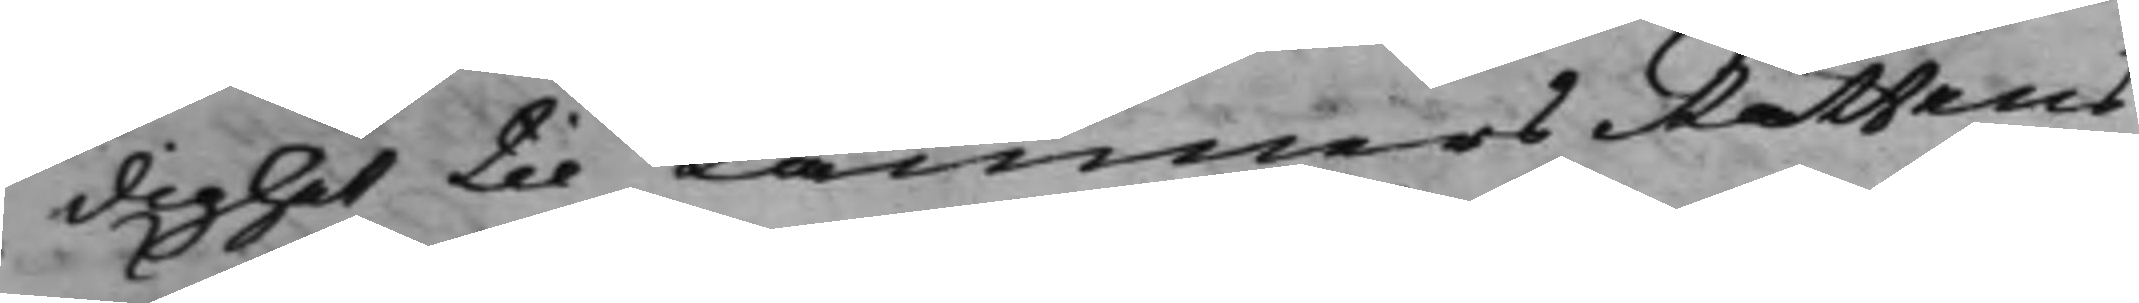dighet til KämnersRättens
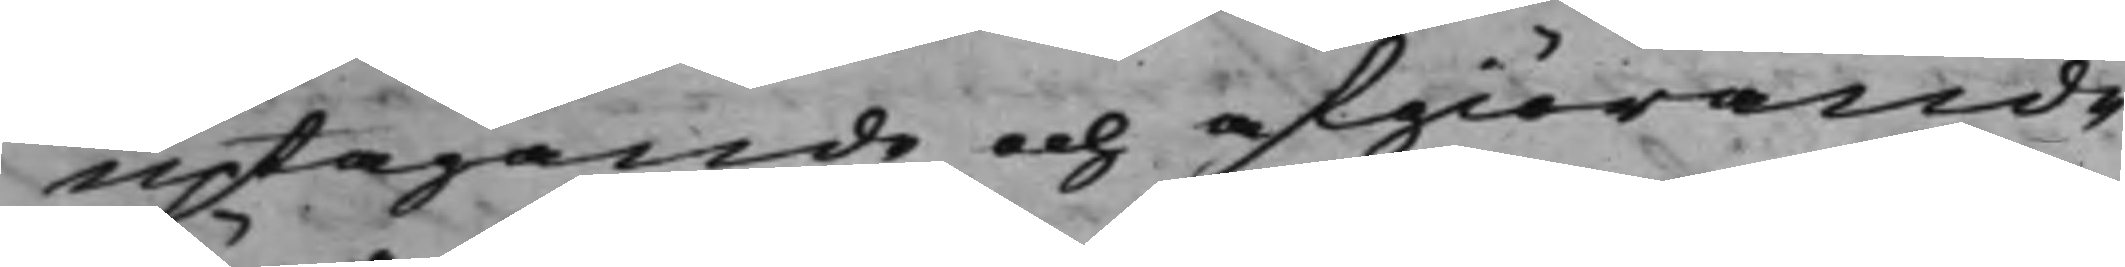uptagande och afgiörande
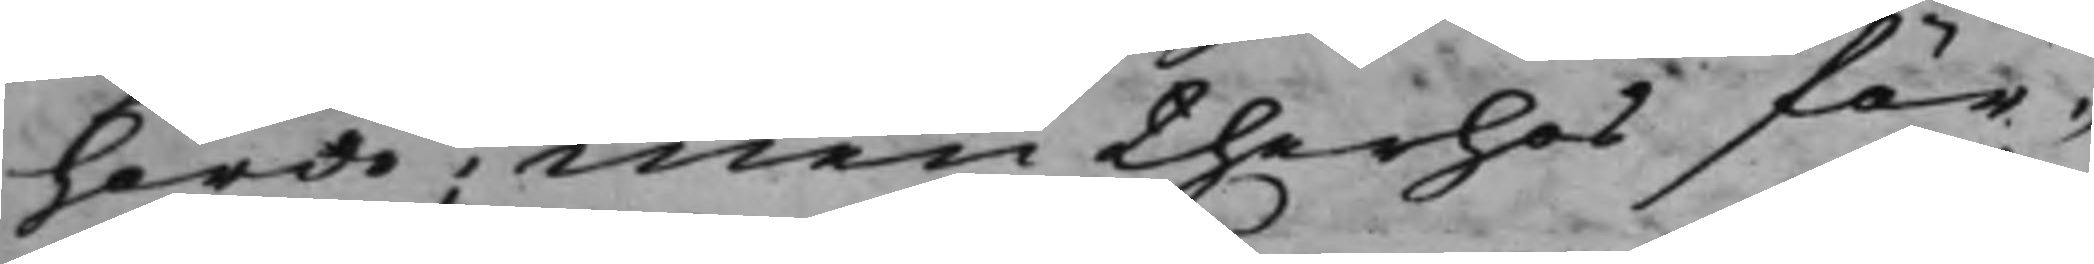hörde, men therhos för¬
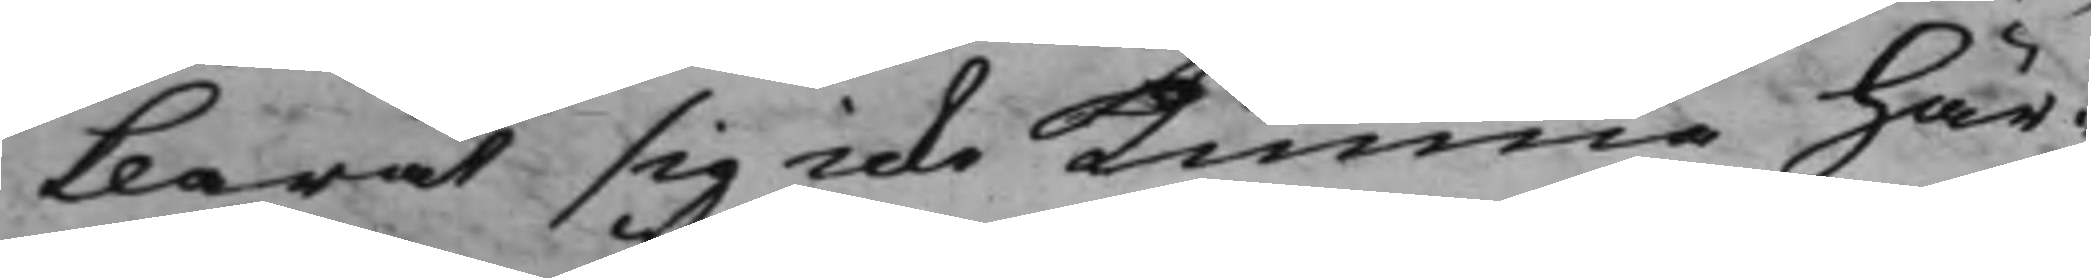klarat sig icke kunna här¬
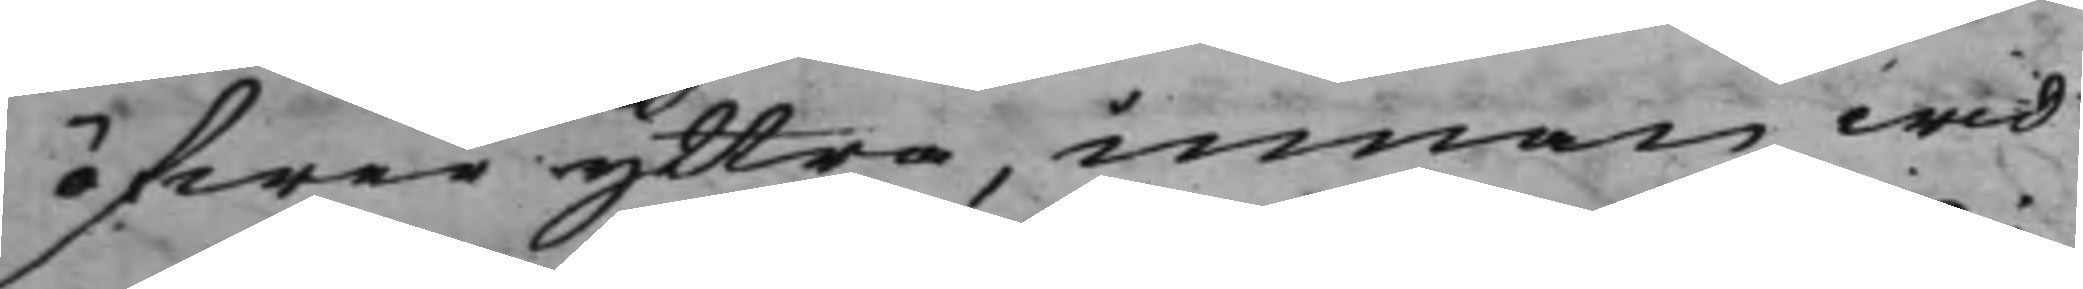öfwer yttra, innan wid
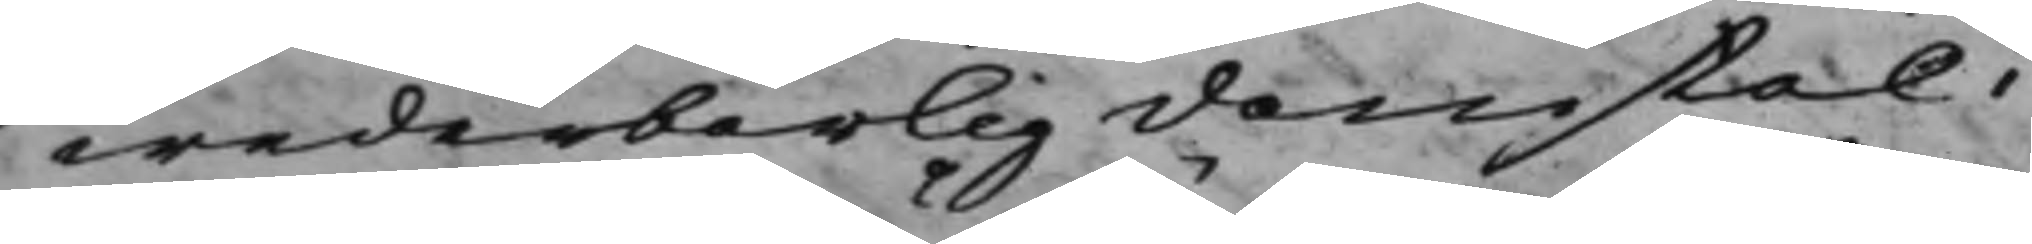wederbörlig domstol i
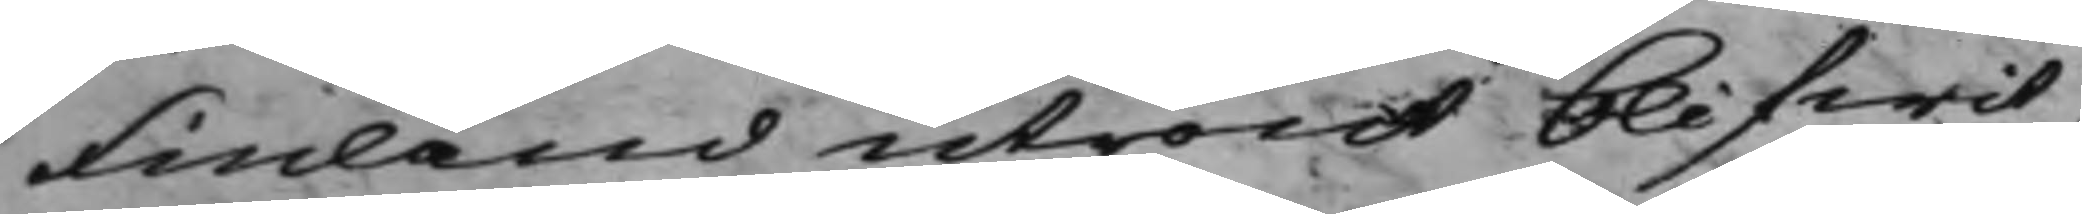Finland utrönt blifwit,
